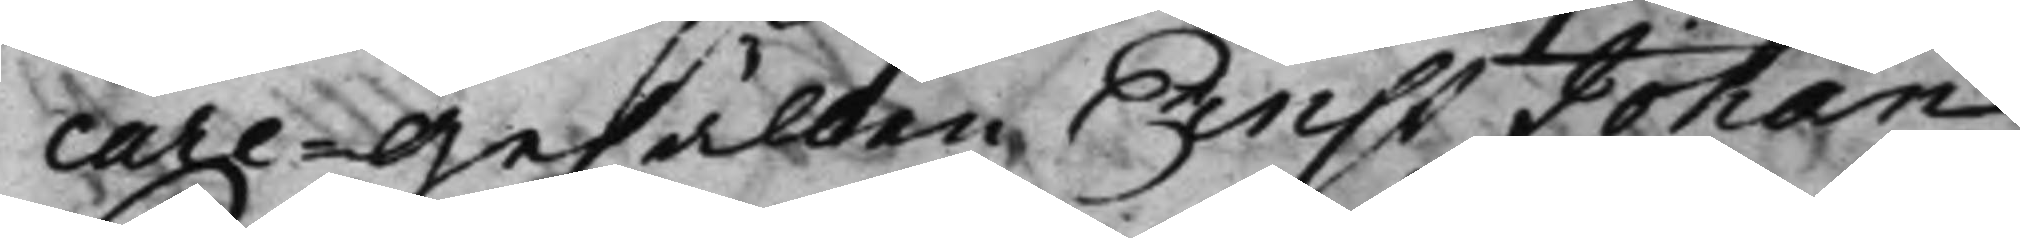care-Gesällen Ernst Johan
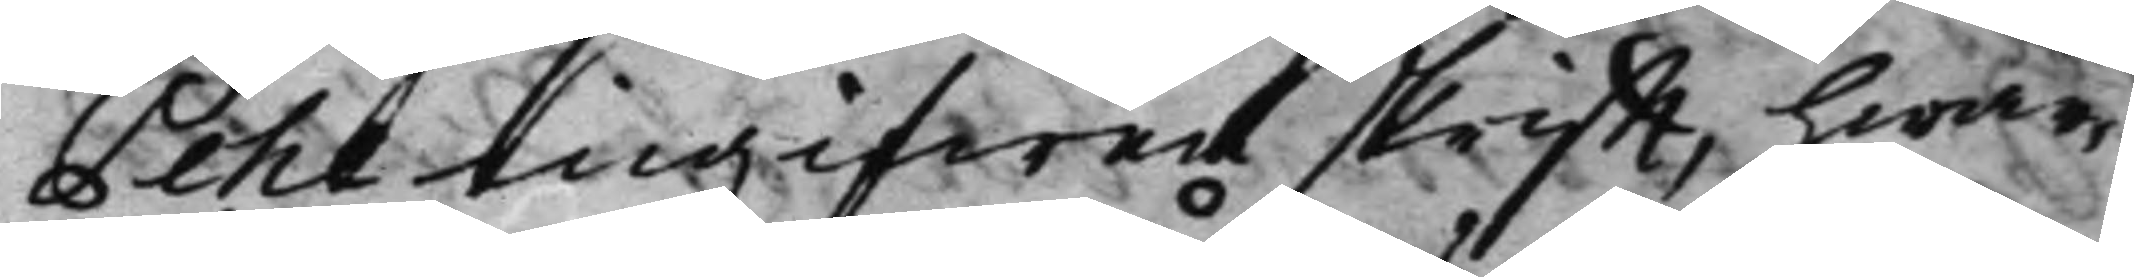Pehl ingifwen skrifft, hwar¬
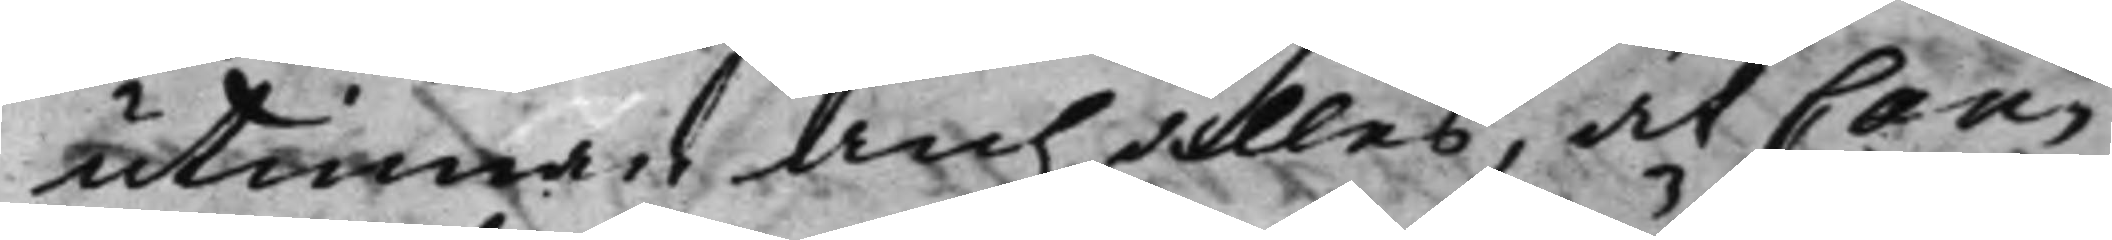utinnan anhålles, at Can¬
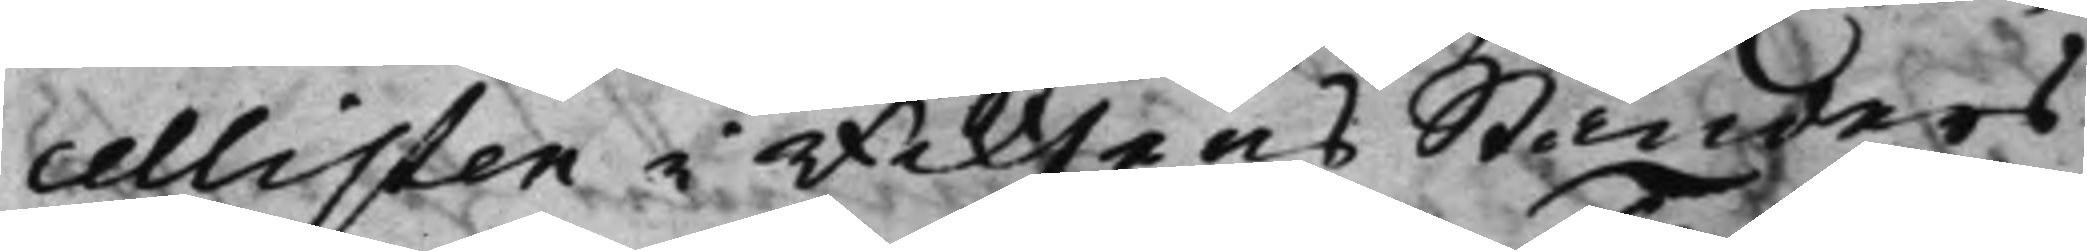cellisten i Riksens Ständers
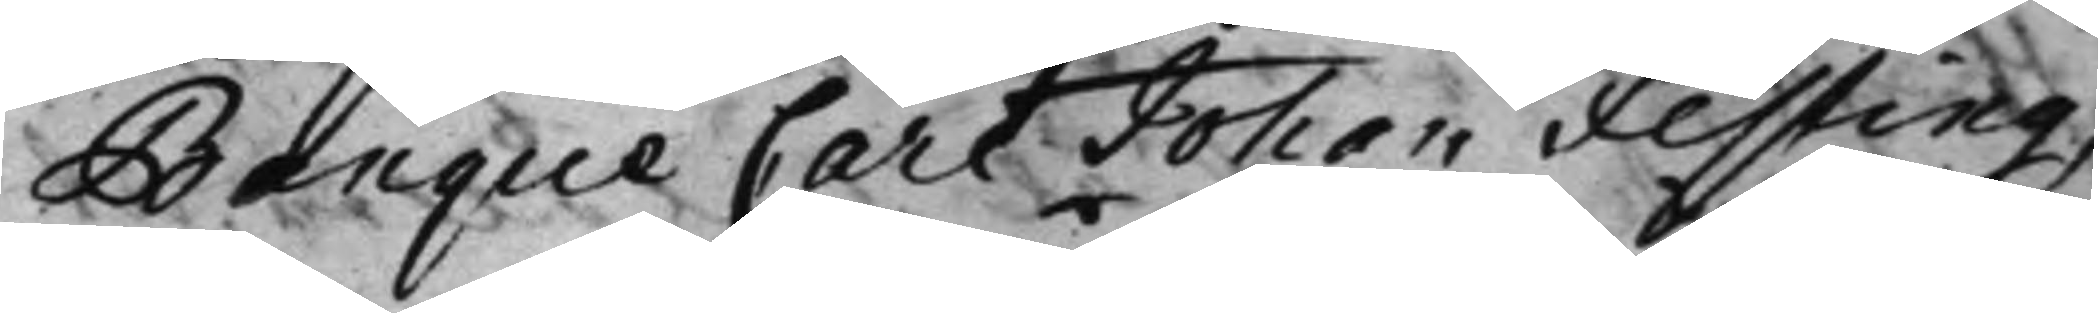Banque Carl Johan Festing,
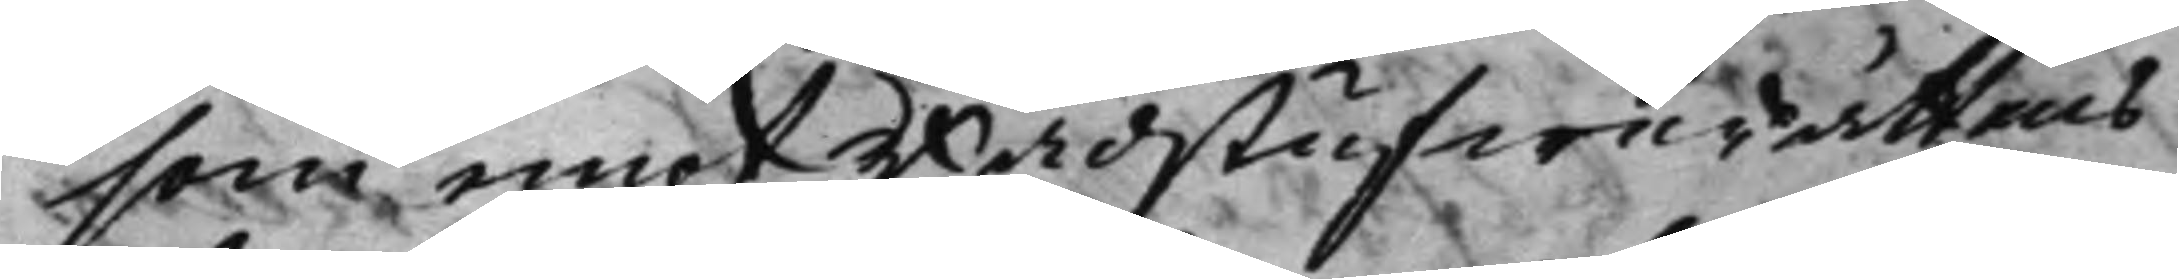som emot Rådstufwurättens
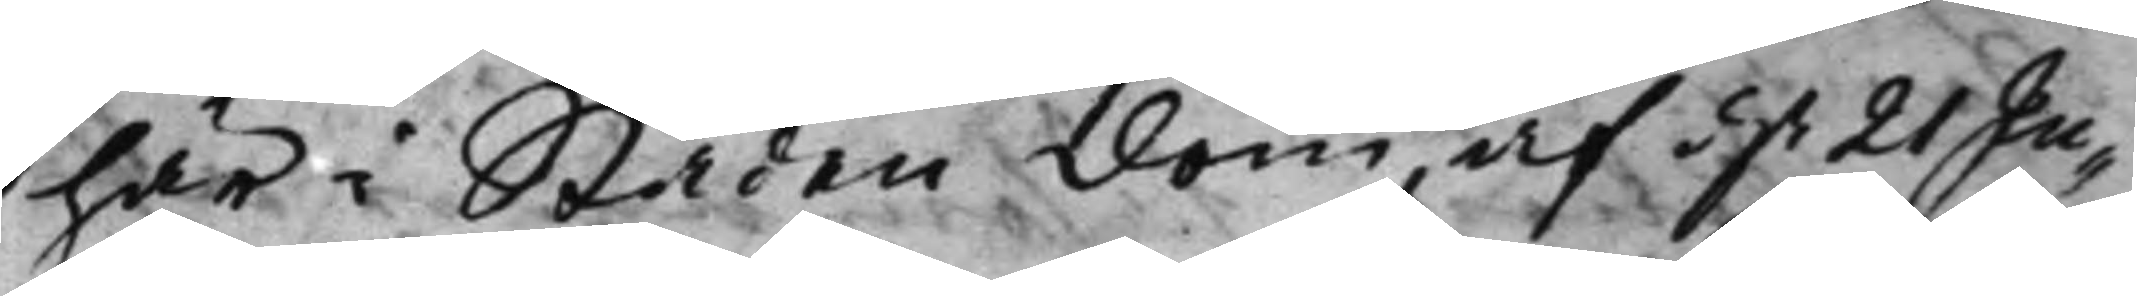här i Staden dom af d. 21 Ju¬
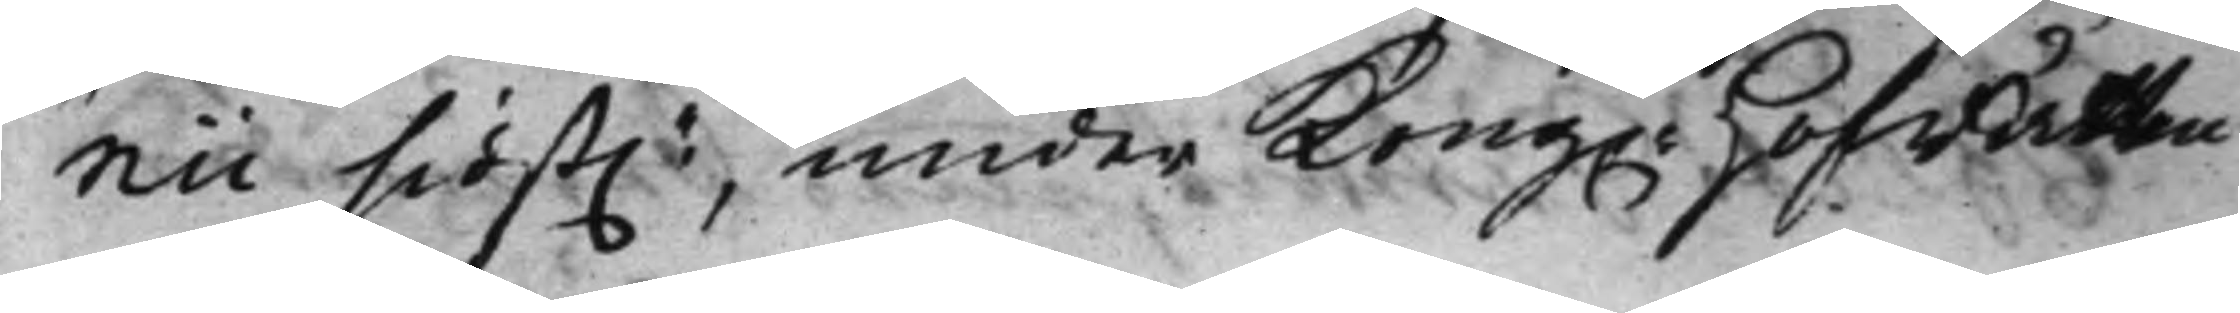nii sidst.e, under Kong. HofRätten
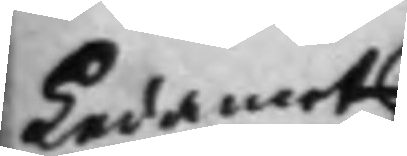Ledamot
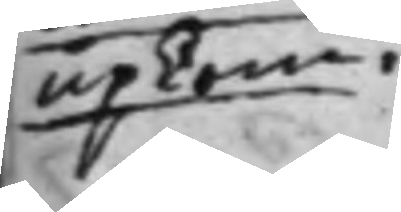upkom.
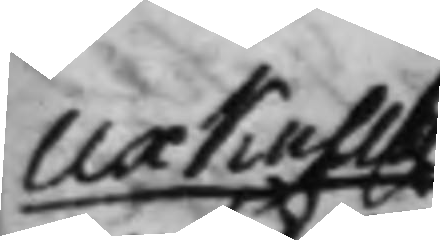Uxkulls
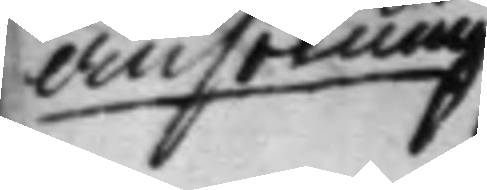Ansökning
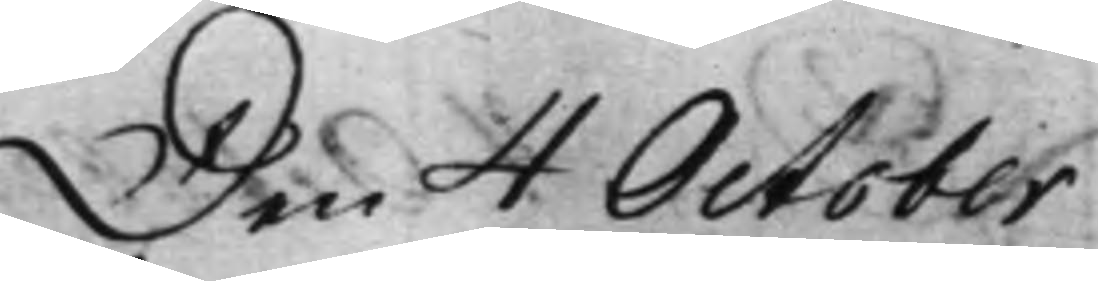Den 4 October
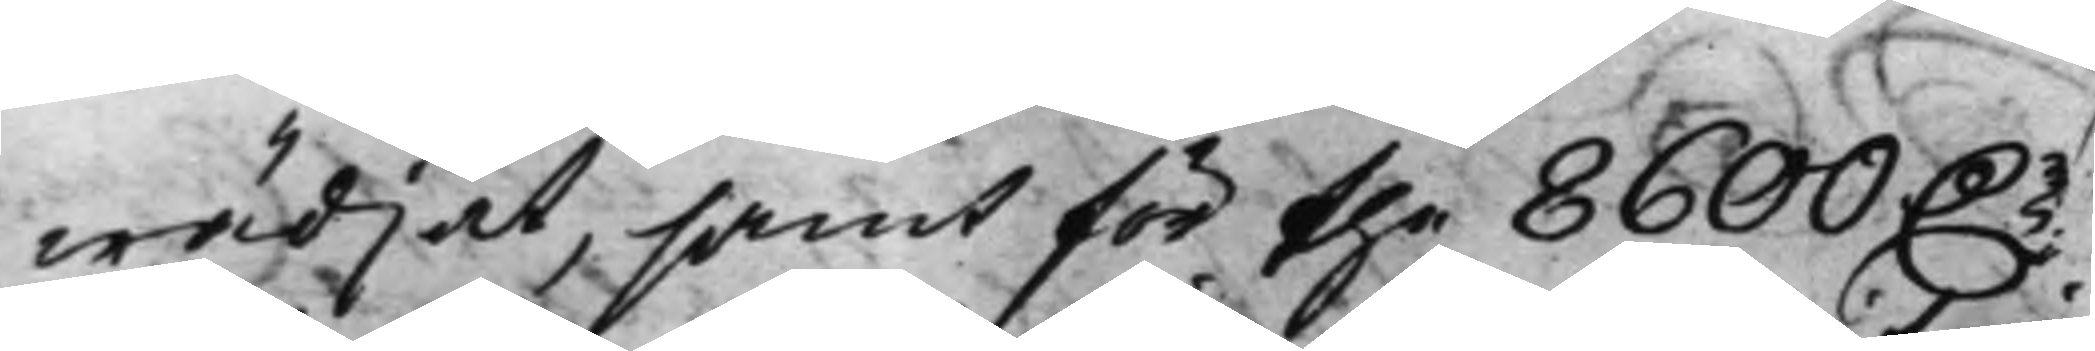wädjat, samt för the 8600 D.r
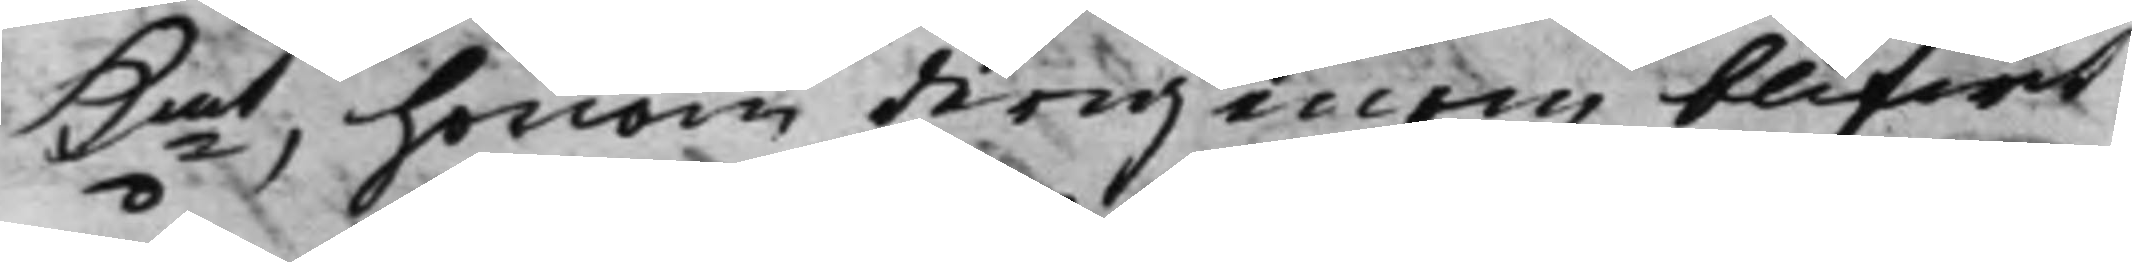Kmt, honom derigenom blifwit
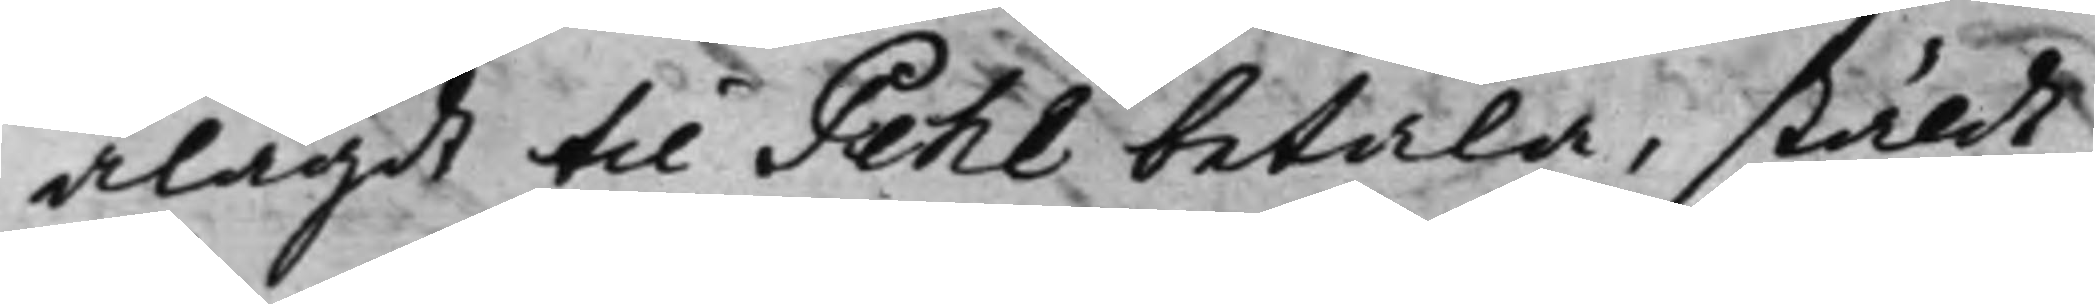ålagdt til Pehl betala, stäldt
